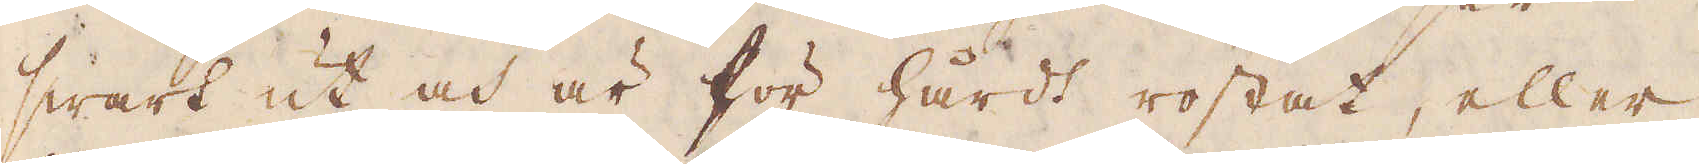swart ut och är för hårdt rostat, eller
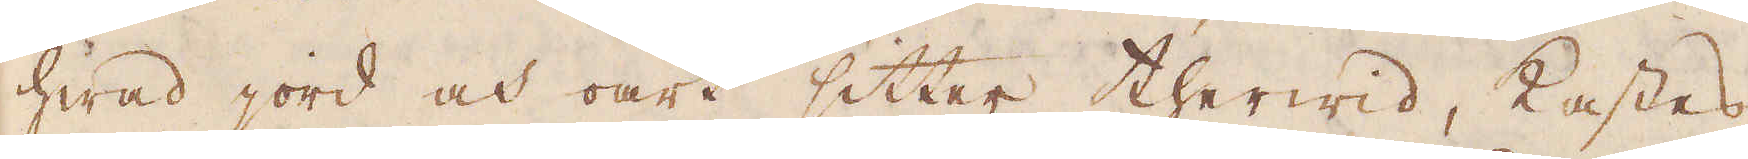hwad jord och oart sitter therwid, kastes
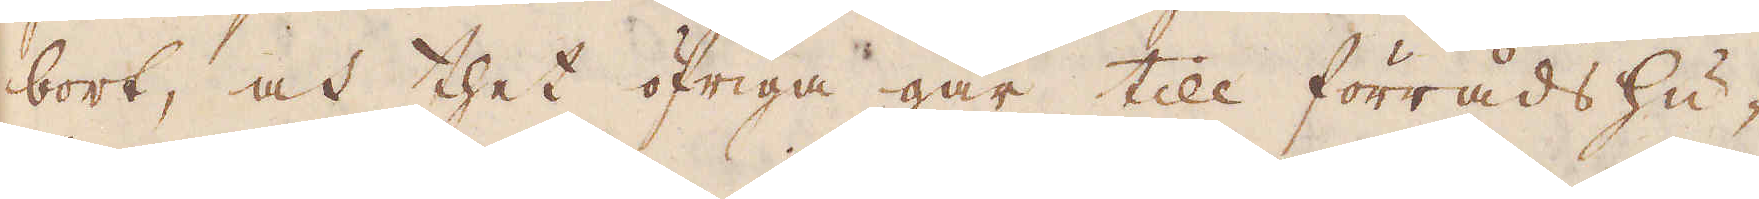bort, och thet öfriga går till förråds hu-
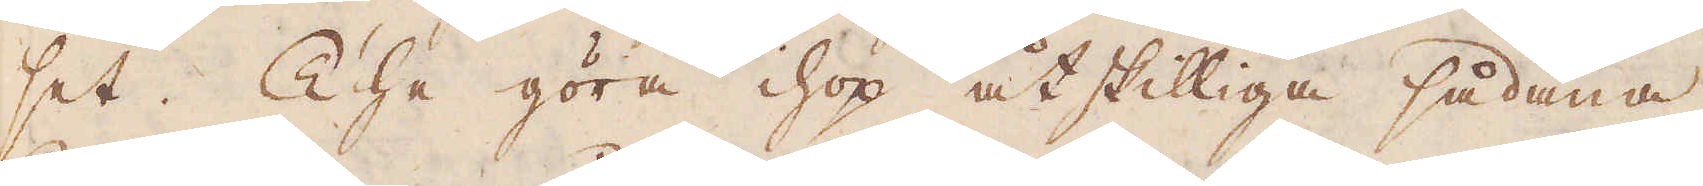set. The göra ihop åtskilliga sådana
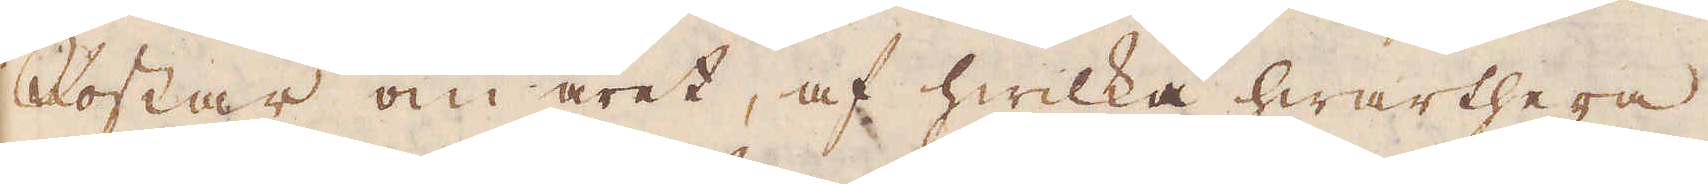Rostar om året, af hwilka hwarthera
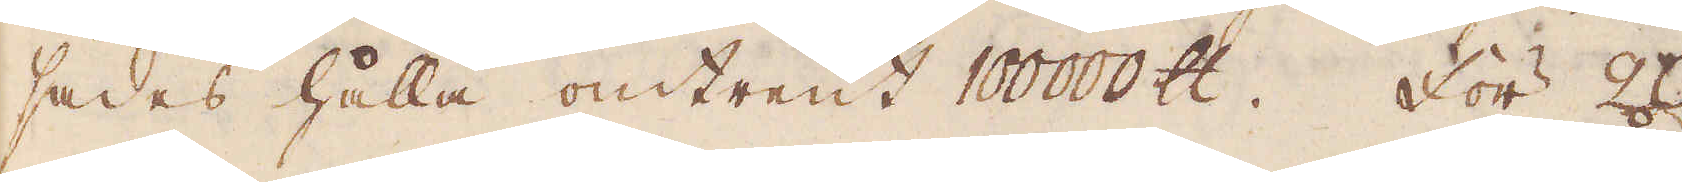sades hålla omtrent 100000 skålpund. För 20.
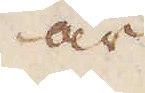år
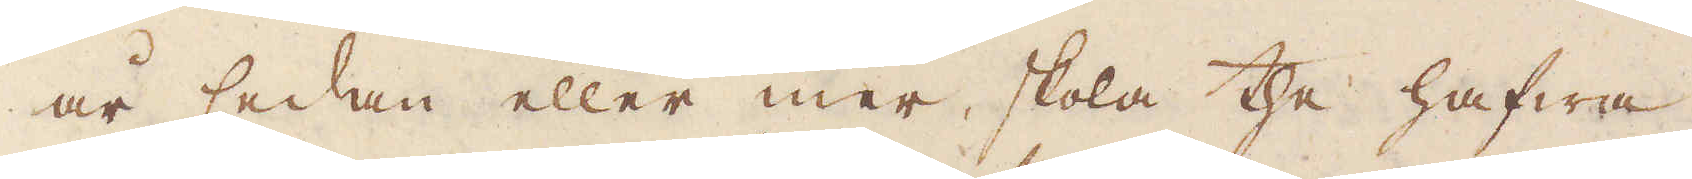år sedan eller mer, skola the hafwa
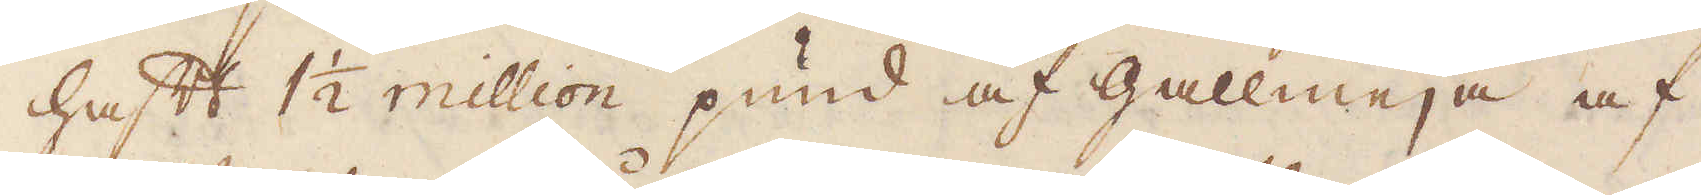haft 1 1/2 million pund af gallmeja af
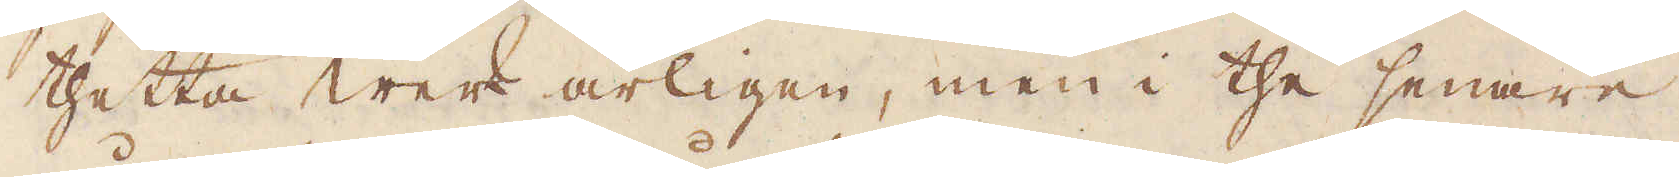thetta werk årligen, men i the senare
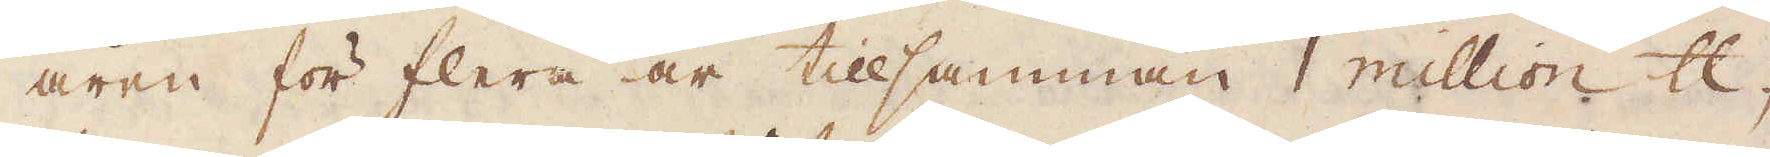åren för flera år tillsamman 1 million skålpund,
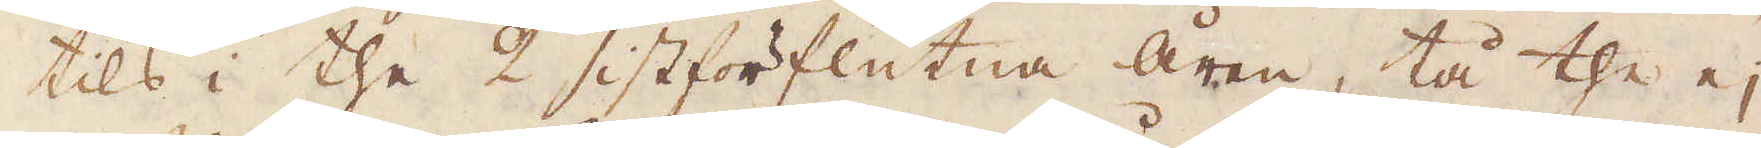tils i the 2 sistförflutna åren, tå the ej
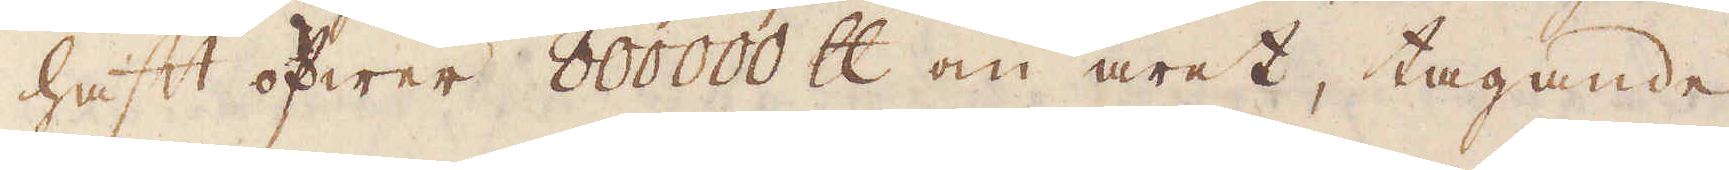haft öfwer 800000 skålpund om året, tagande
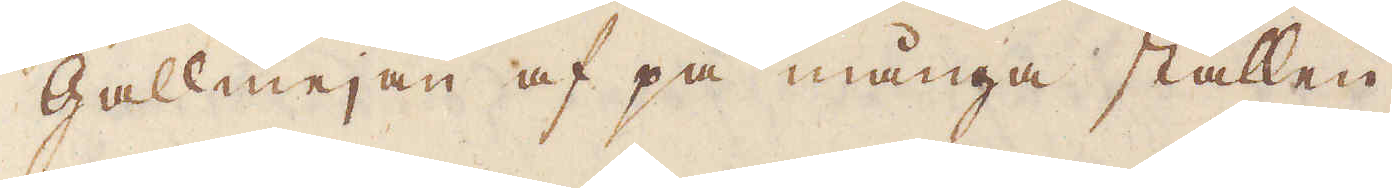gallmejan af på många ställen.
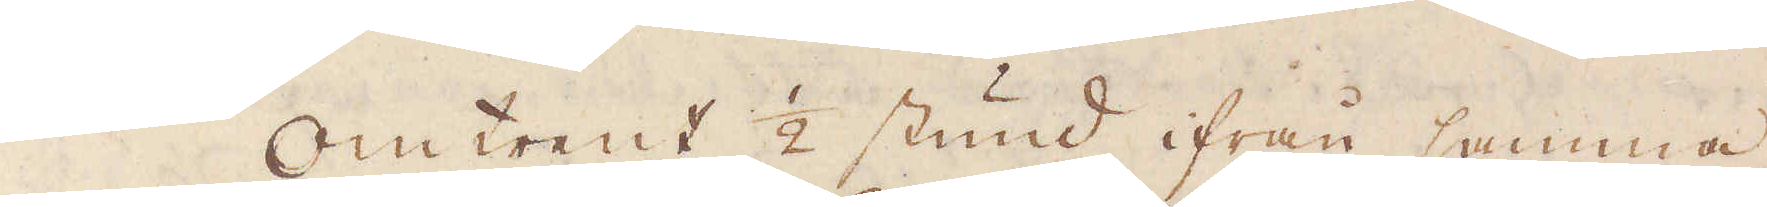Omtrent 1/2 stund ifrån samma
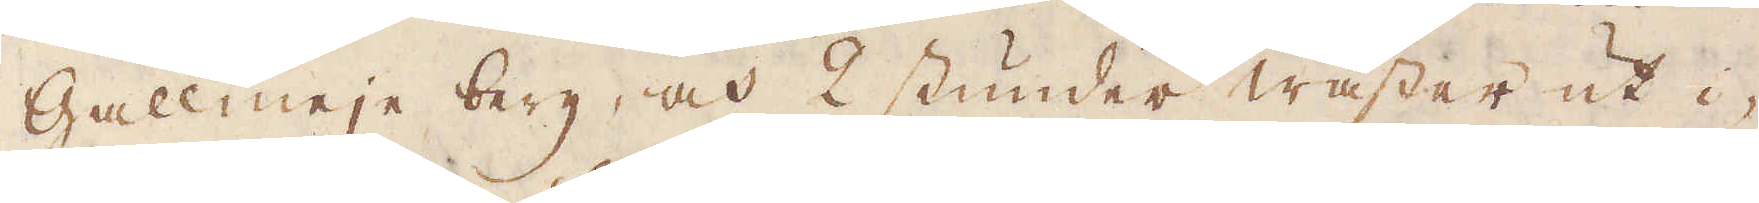Gallmeje berg, och 2 stunder wäster ut i-
